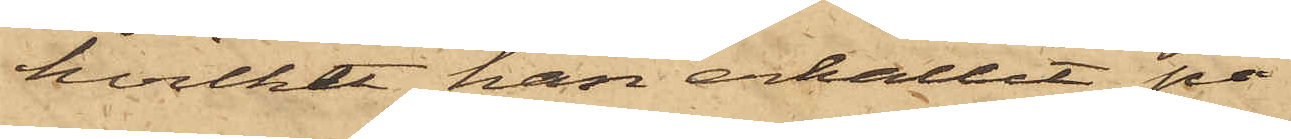hvilket han erhållit på
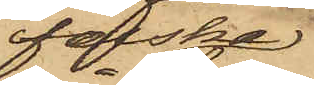falska
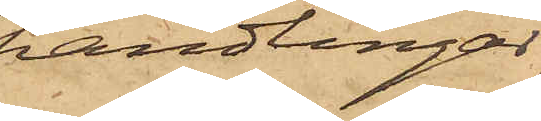handlingar,
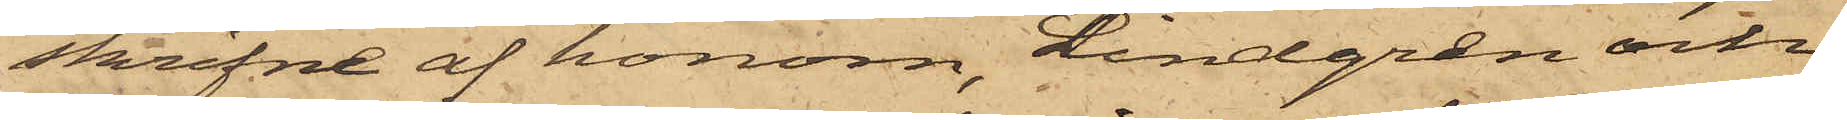skrifne af honom, Lindgren och
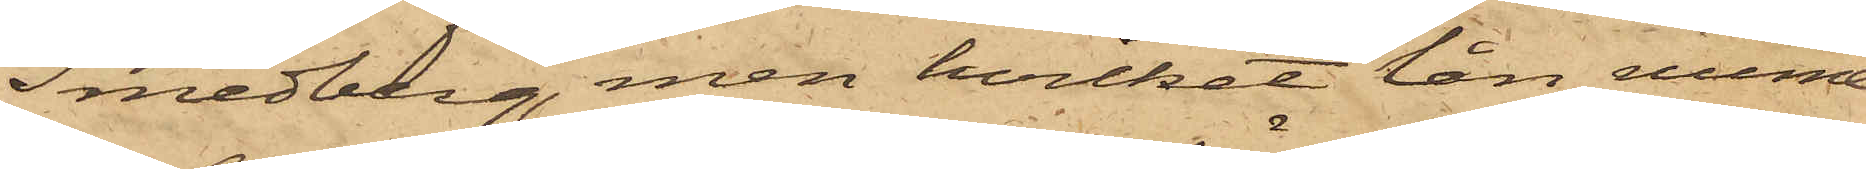Smedberg, men hvilket han nume¬
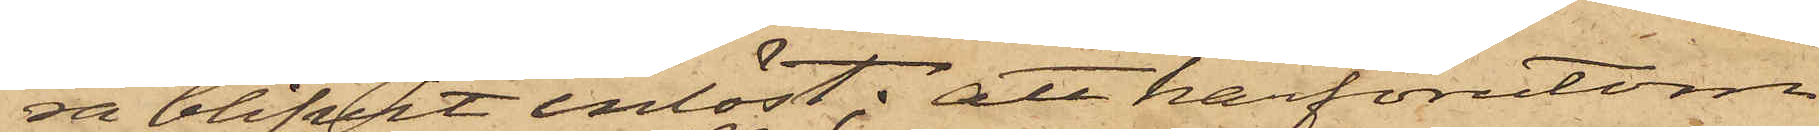ra blifvit inlöst; att härförutom
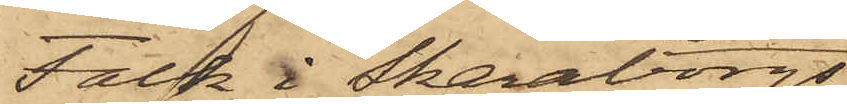Falk i Skaraborgs
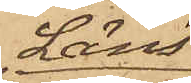Läns
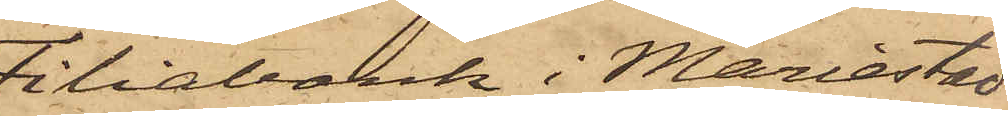Filialbank i Mariestad
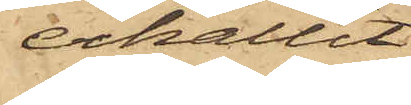erhållit
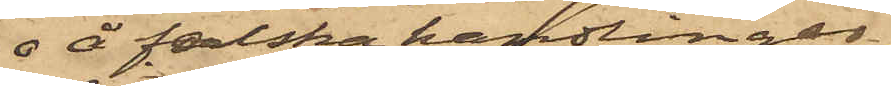 å falska handlingar
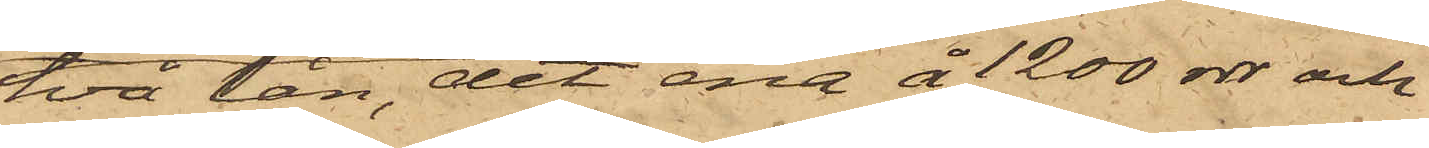två lån, det ena å 1200 rdr och
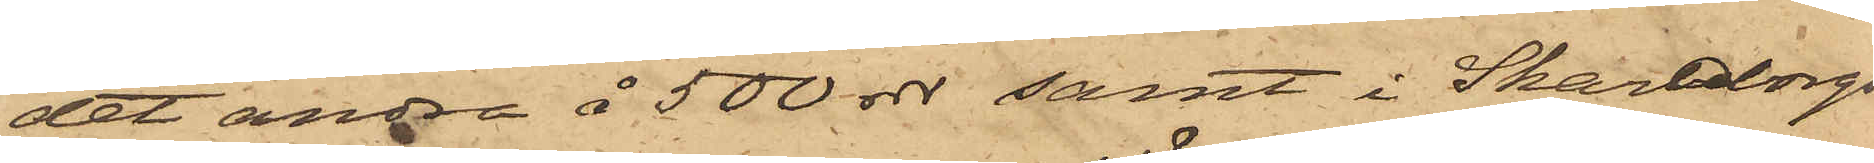det andra å 500 rdr samt i Skaraborgs
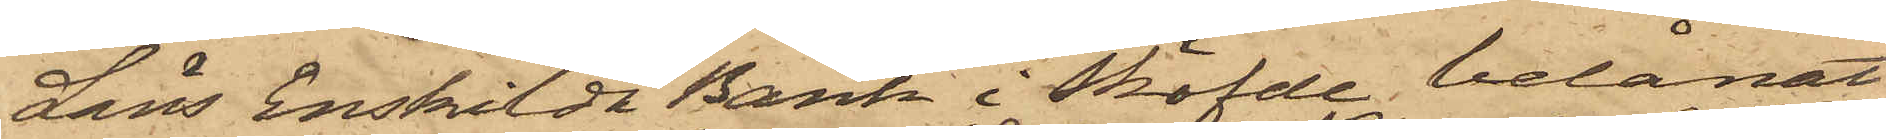Läns Enskilda Bank i Sköfde, belånat
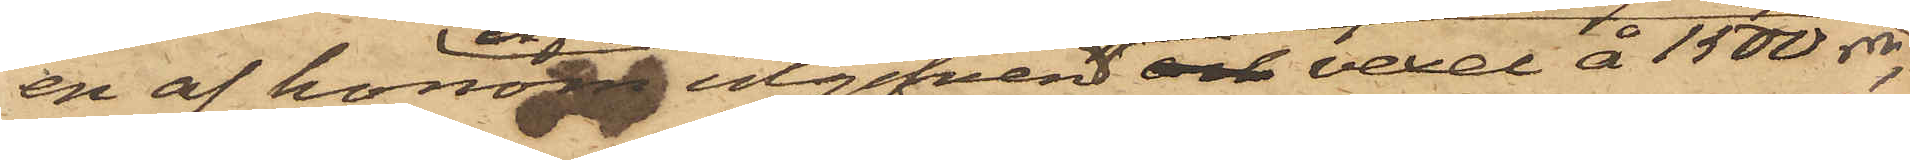en af honom ingifven och vexel å 1500 rdr,
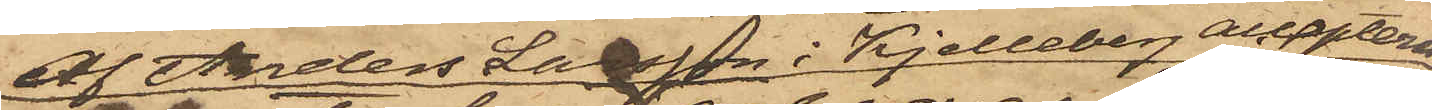af Anders Larsson i Kjelleberg accepterad
